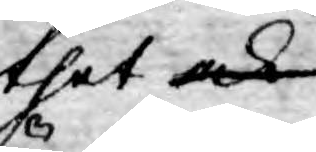thet ock
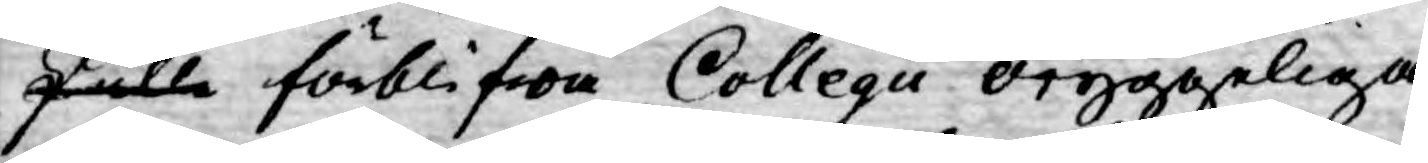skulle förblifwa Collegii oryggeliga
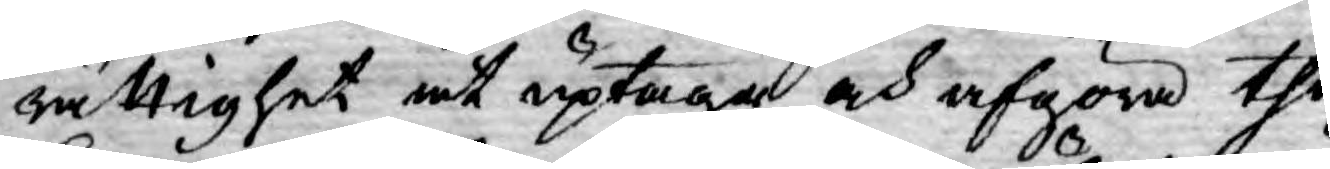rättighet at uptaga och afgöra the
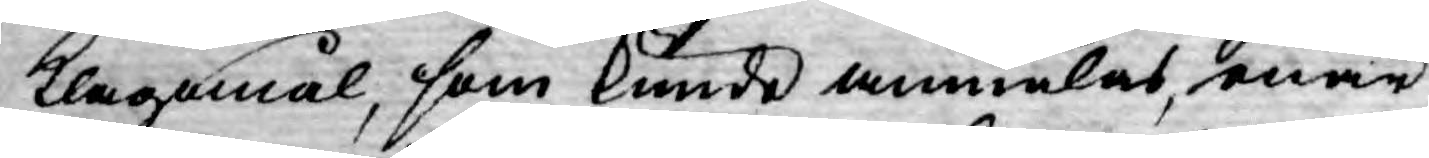klagomål, som kunde anmälas, enär
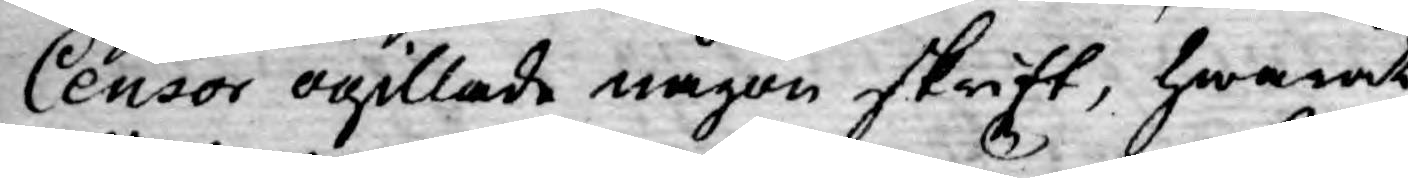Censor ogillade någon skrift, hwaråt
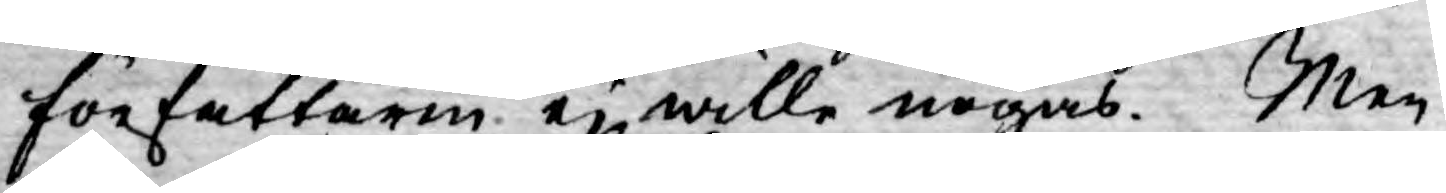författaren ej wille nögas. Men
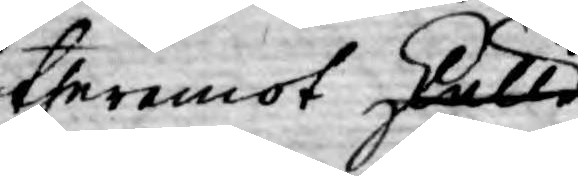theremot skulle
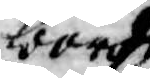borde
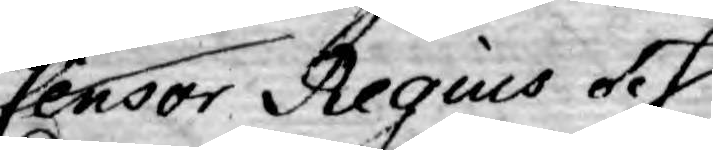Censor Regius och
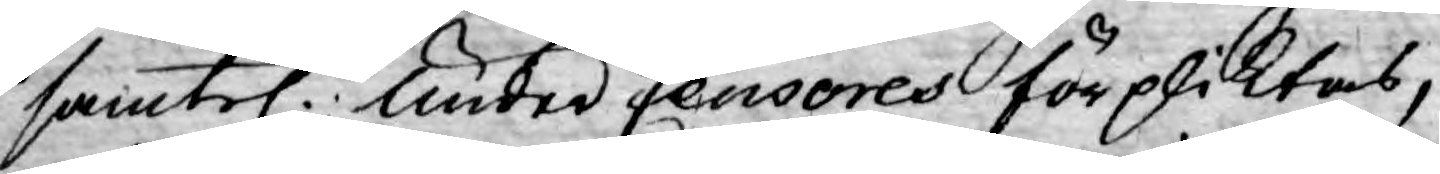samtel. under Censores förpliktas,
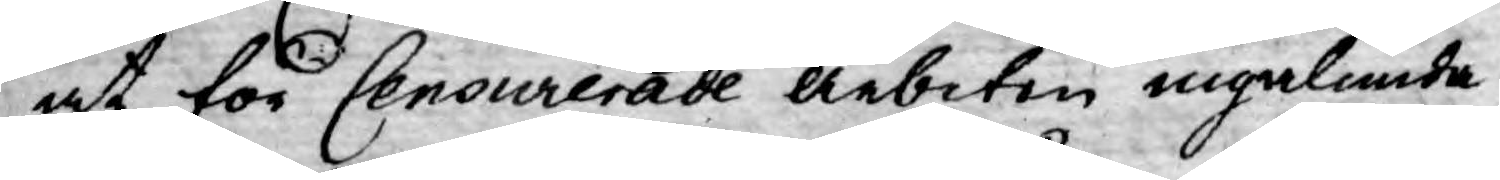at för Censurerade arbeten ingalunda
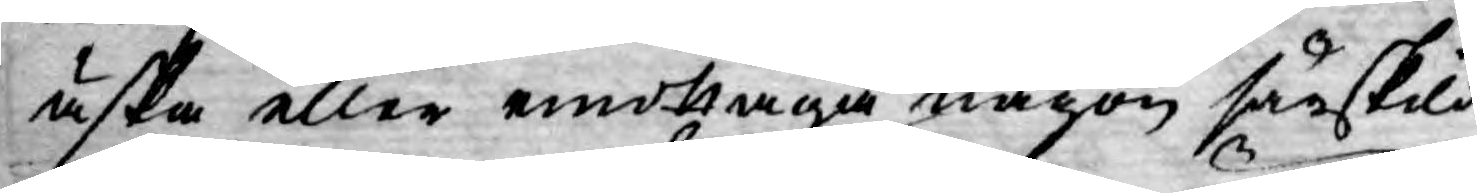äska eller emottaga någon särskild
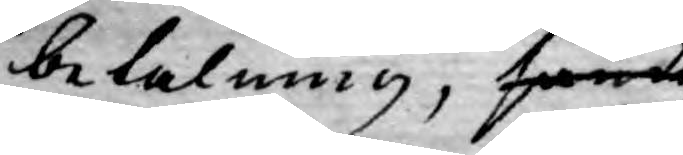betalning, samt
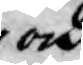och
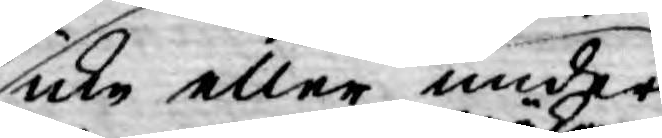icke eller under
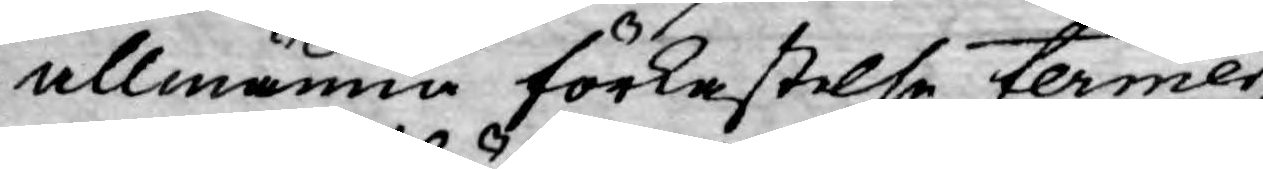allmänna förkastelse termer
